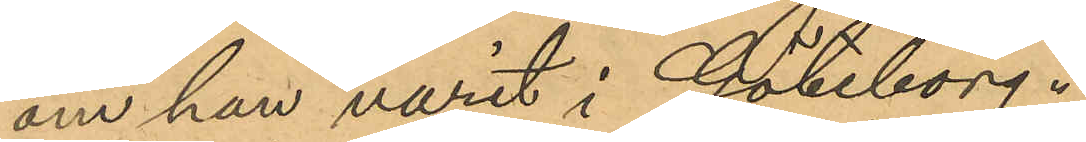om han varit i Göteborg."
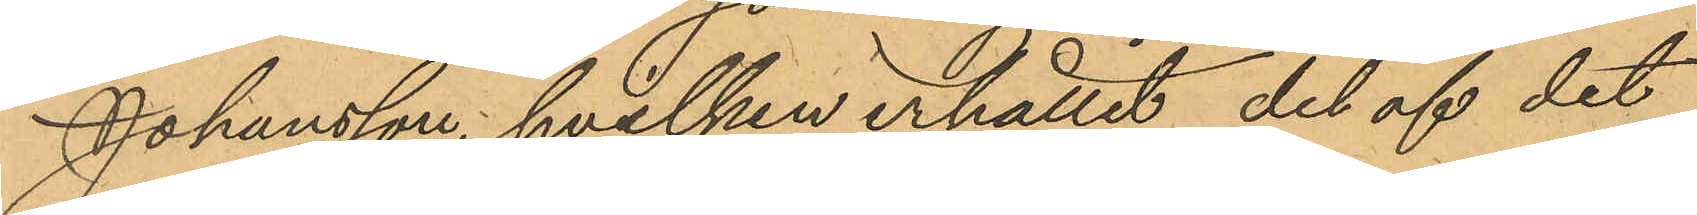Johansson, hvilken erhållit del af det
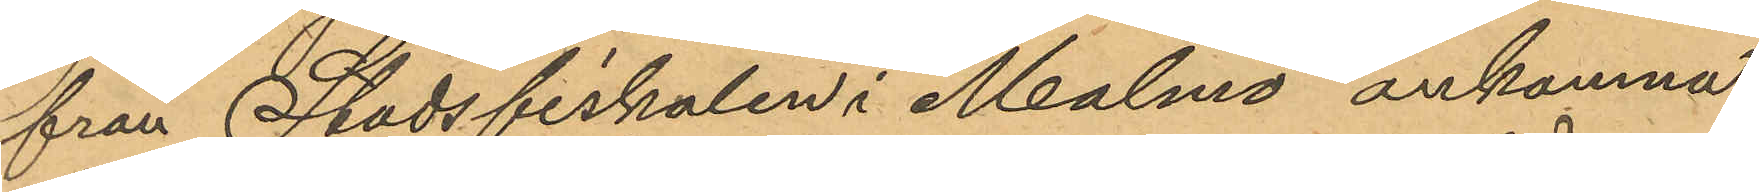från Stadsfiskalen i Malmö ankomna
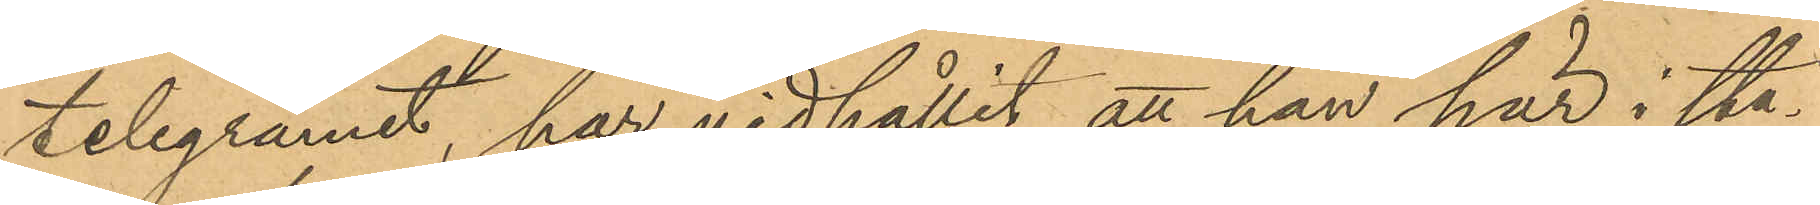telegramet, har vidhållit att han här i sta¬
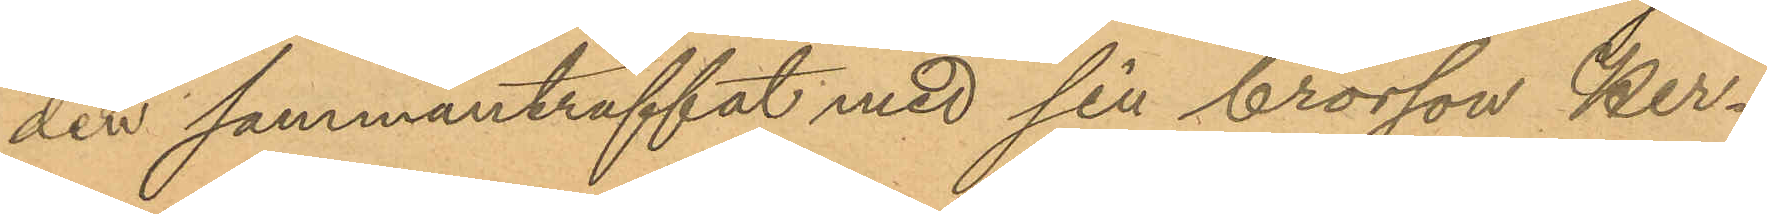den sammanträffat med sin brorson Her¬
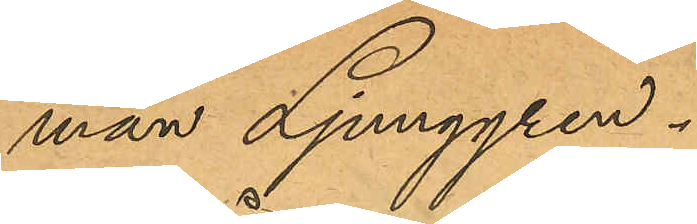man Ljunggren.
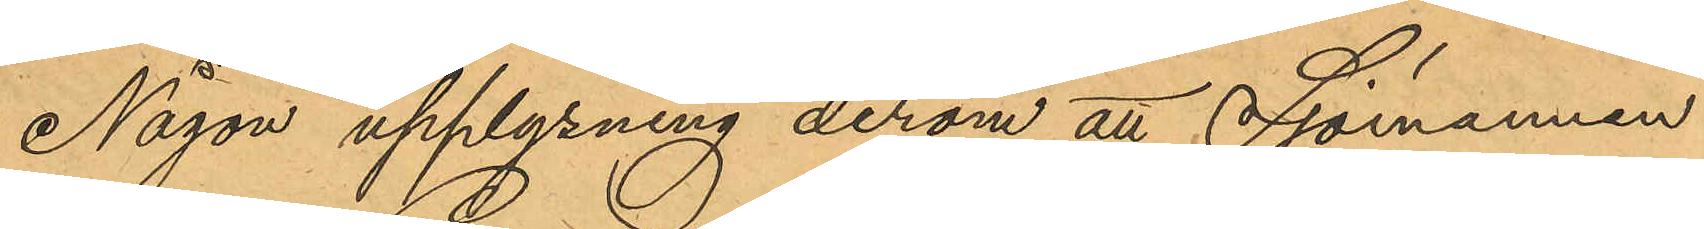Någon upplysning derom att Sjömannen
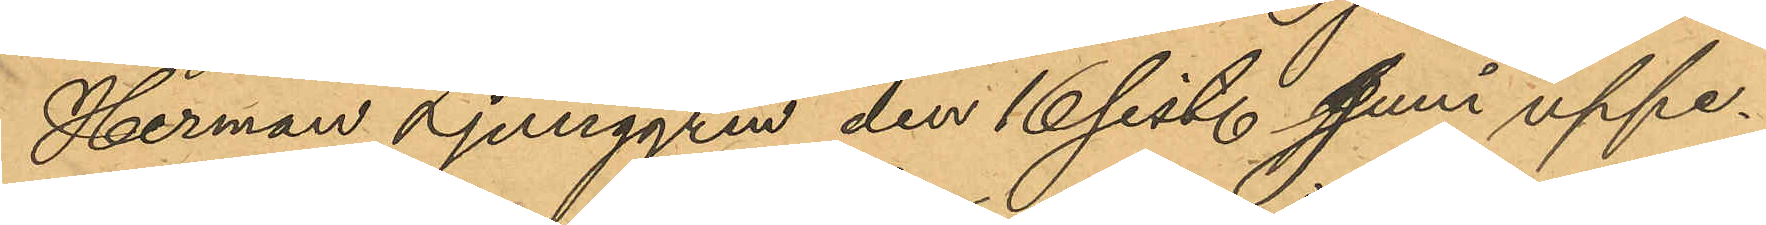Herman Ljunggren den 16 sist. Juni uppe¬
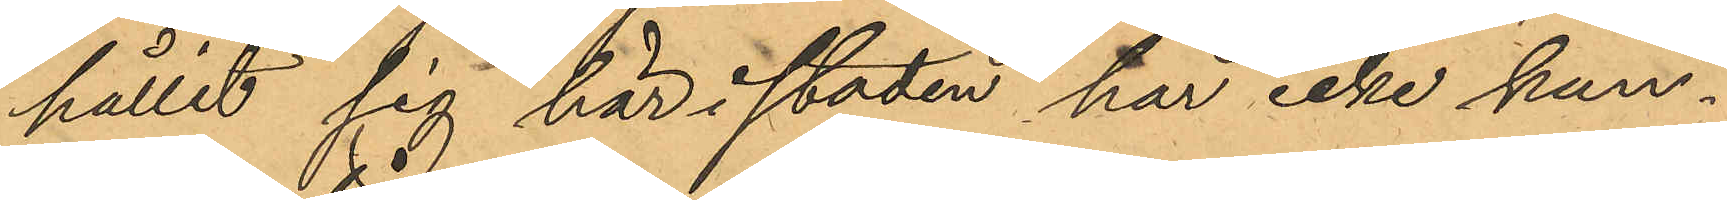hållit sig här i staden har icke kun¬
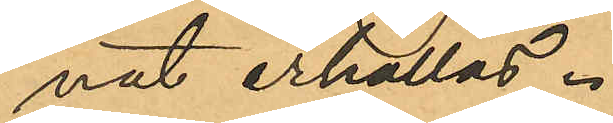nat erhållas.
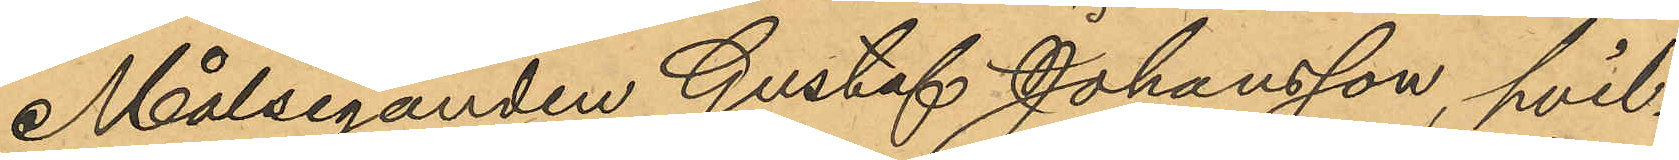Målseganden Gustaf Johansson, hvil¬
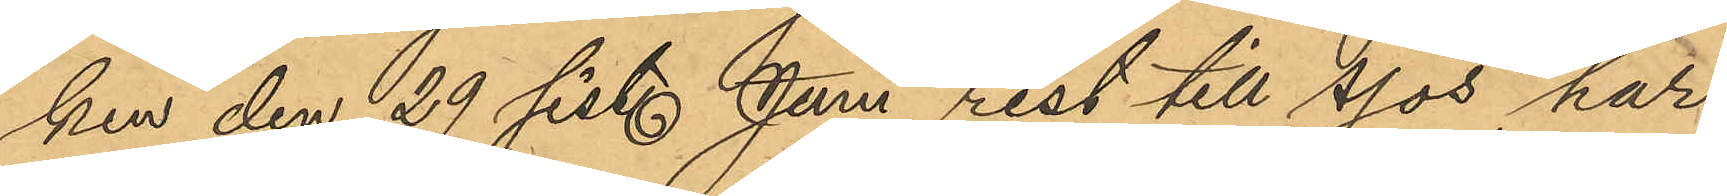ken den 29 sistl. Juni rest till sjös har
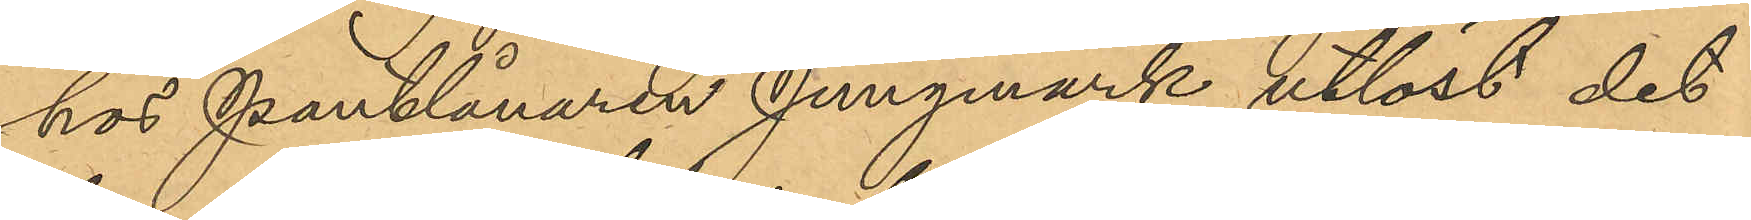hos Pantlånaren Jungmark utlöst det
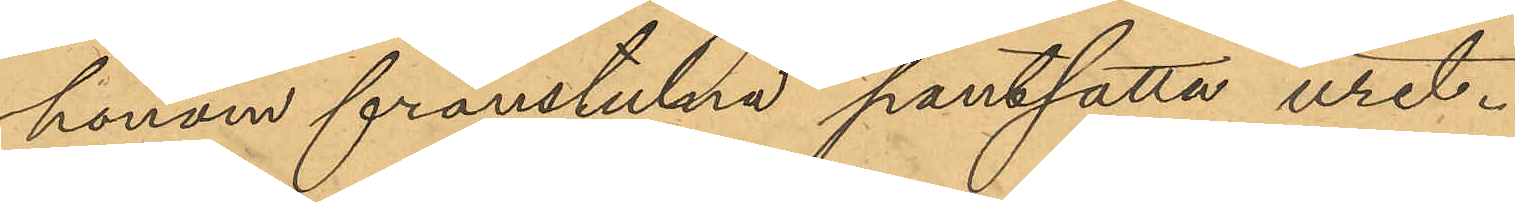honom frånstulna pantsatta uret.
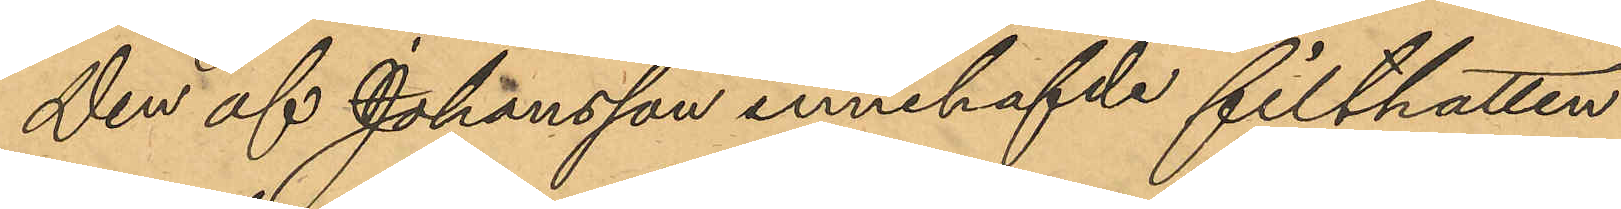Den af Johansson innehafvde filthatten
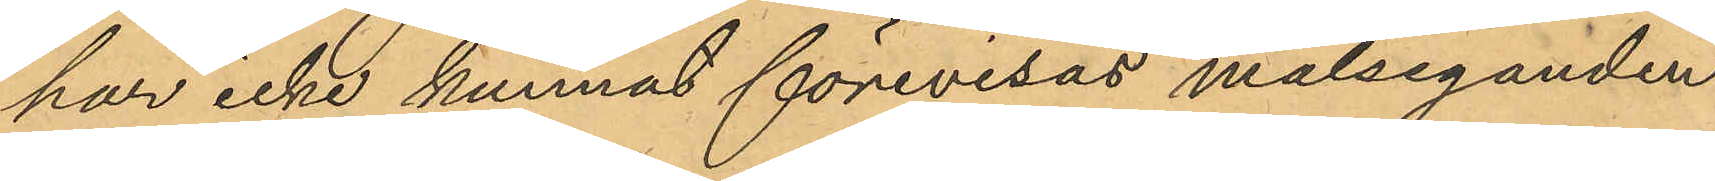har icke kunnat förevisas målseganden
